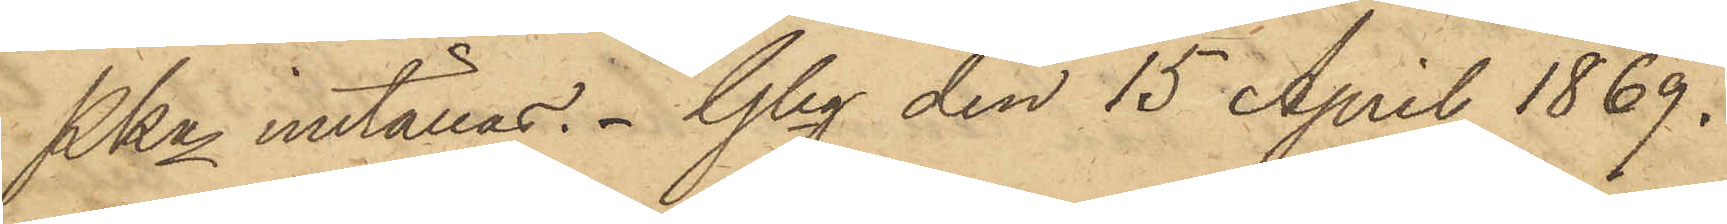Pkn inställas. Gbg den 15 April 1869.
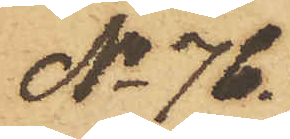No 76.
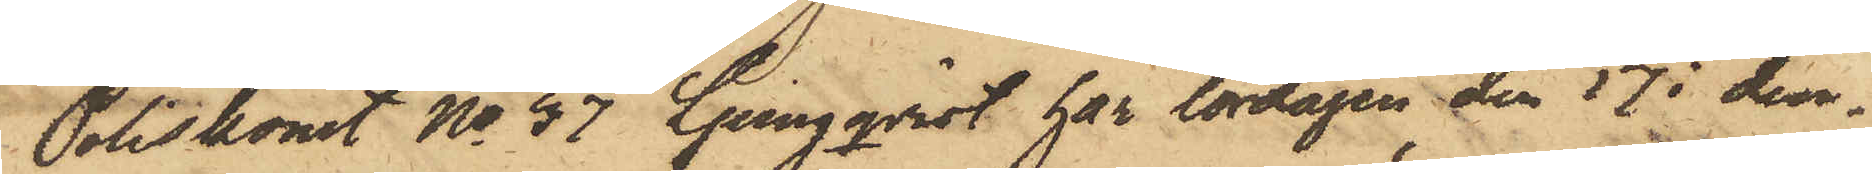Poliskonst No 37 Ljungqvist har lördagen den 17 i den¬
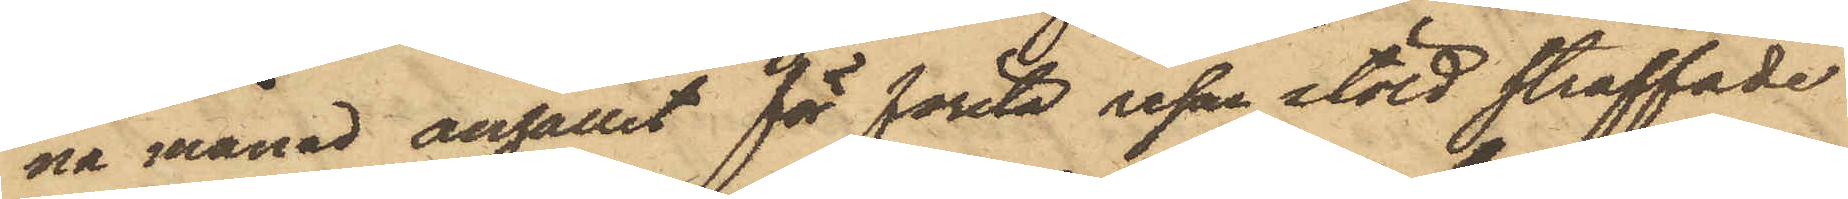na månad anhållit för första resan stöld straffade
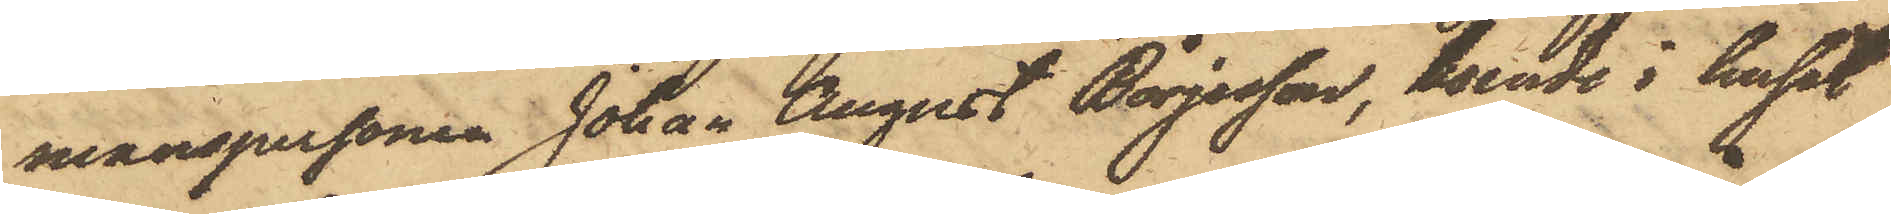manspersonen Johan August Börjesson, boende i huset
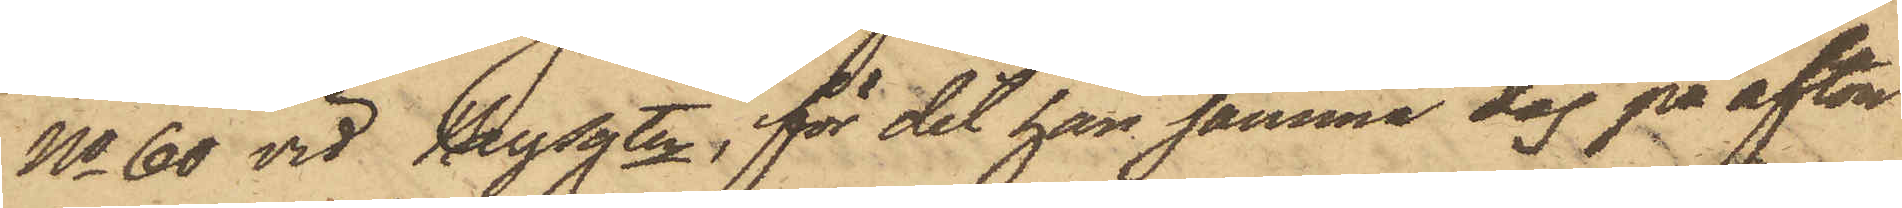No 60 vid Bergsgtn, för det han samma dag på afton
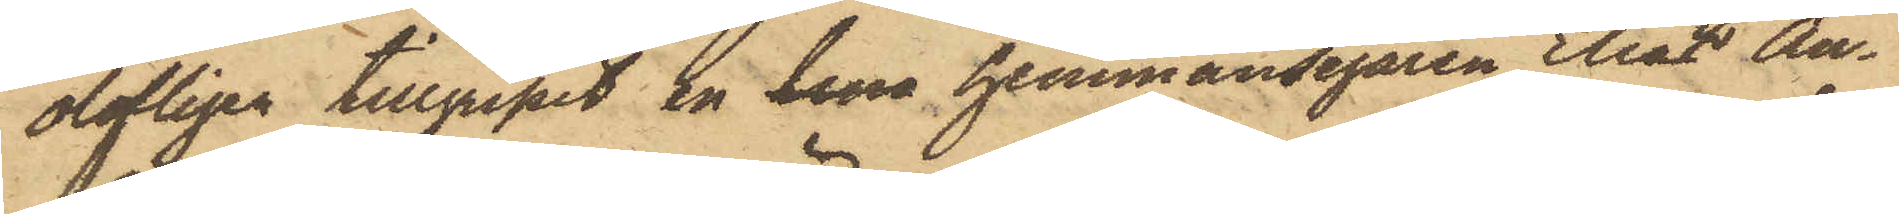olofligen tillgripit en lina hemmansegaren Elias An¬
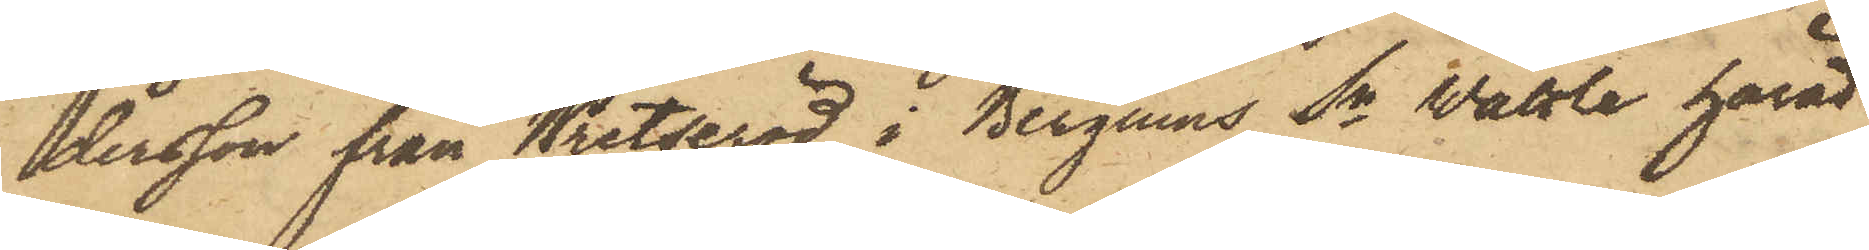dersson från Wretseröd i Bergums Sn Wätdle härad
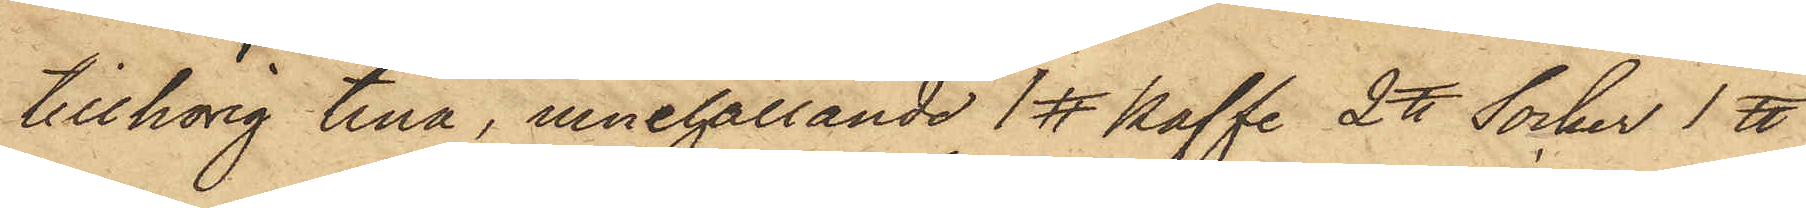tillhörig tina, innehållande 1℔ kaffe 2 ℔ Socker 1 ℔
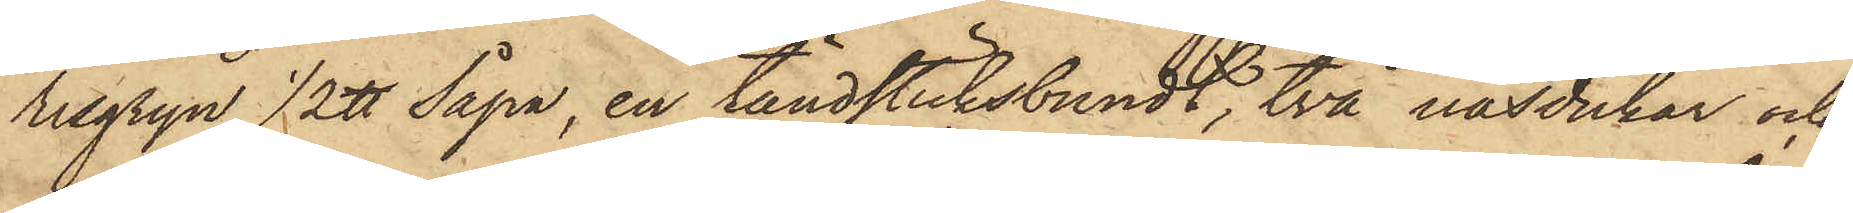risgryn 1/2 ℔ Såpa, en tändsticksbundt, två näsdukar och
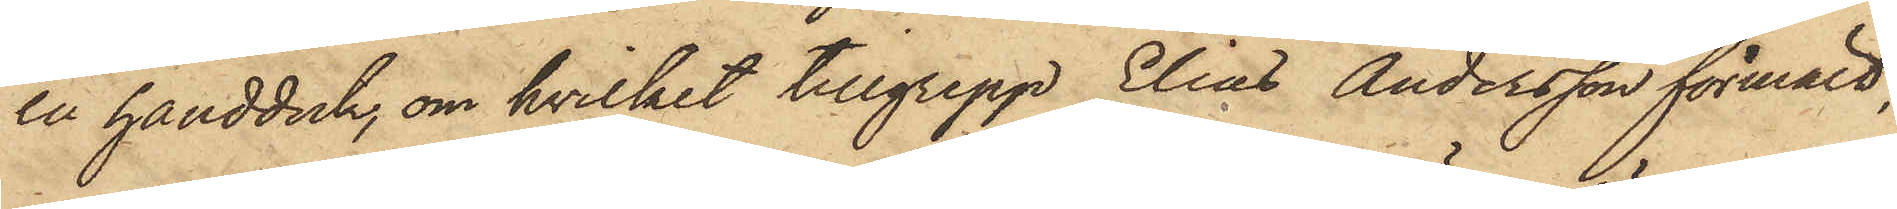en handduk, om hvilket tillgrepp Elias Andersson förmält,
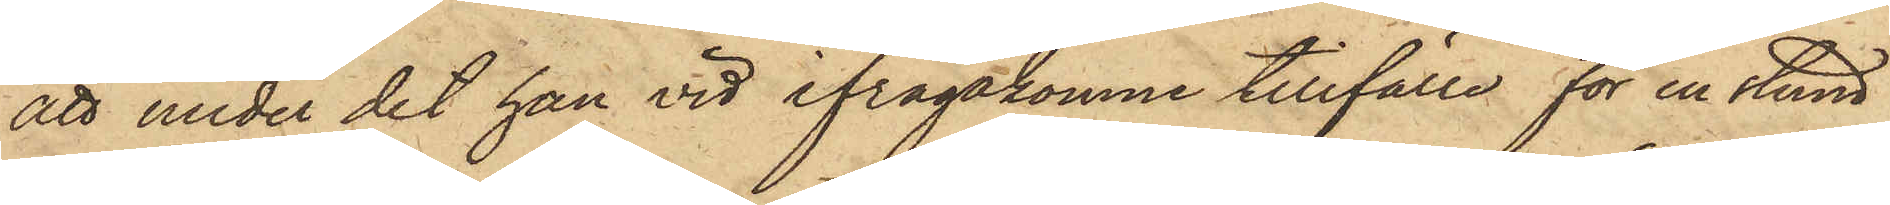att under det han vid ifrågakomne tillfälle för en stund
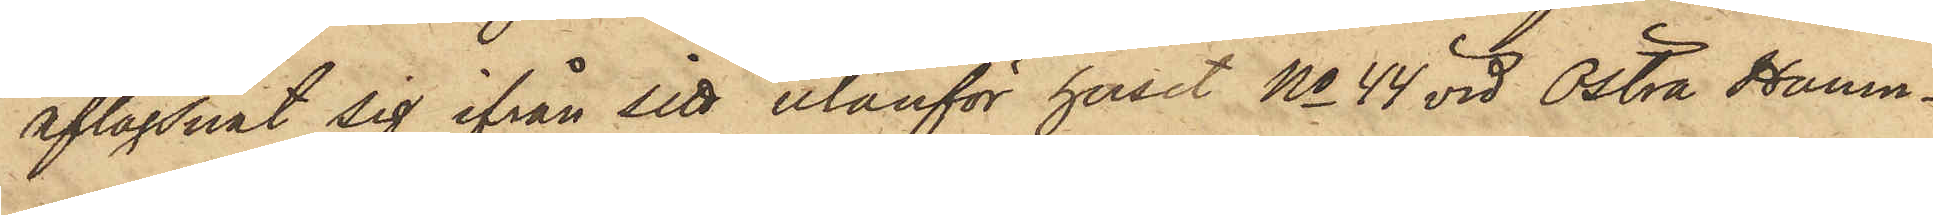aflägsnat sig ifrån sitt utanför huset No 44 vid Östra Hamn¬
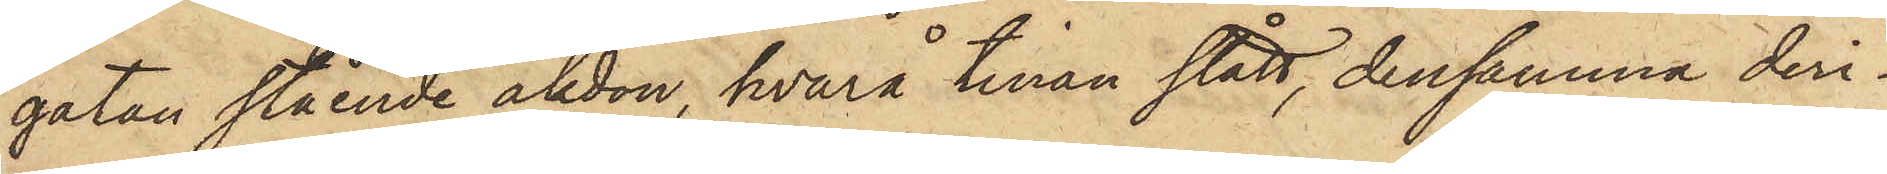gatan stående åkdon, hvarå tinan stått, densamma deri¬
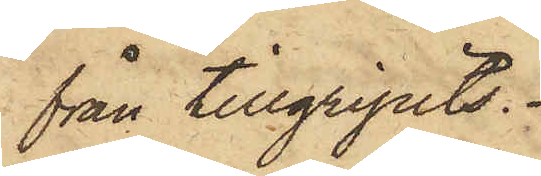från tillgripits.
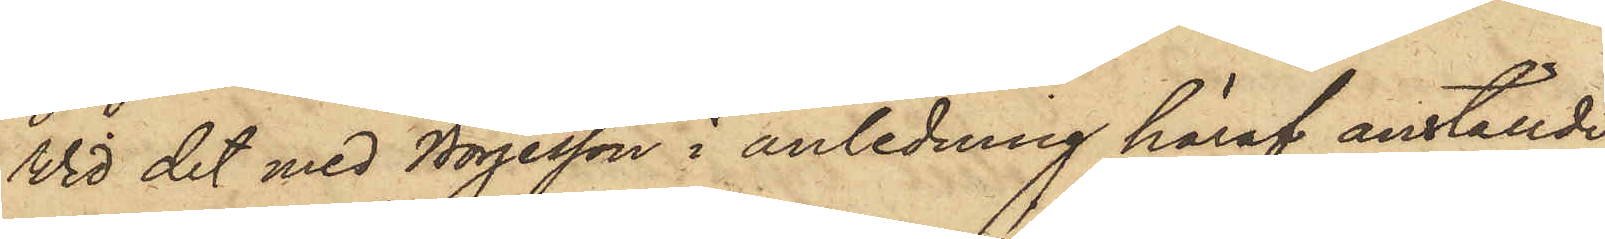Vid det med Börjesson i anledning häraf anställde
